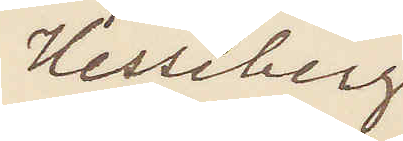Hesseberg
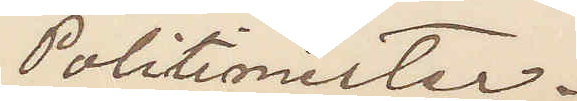Politimester.
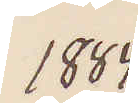1884
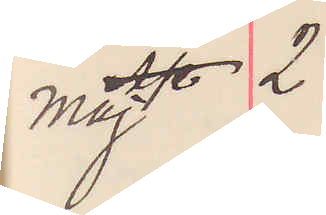Maj 2
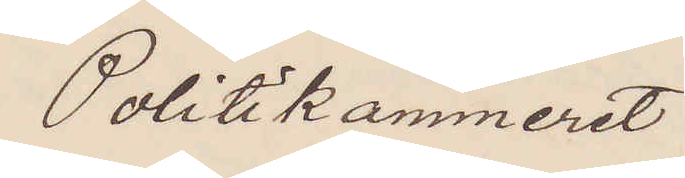Politikammeret
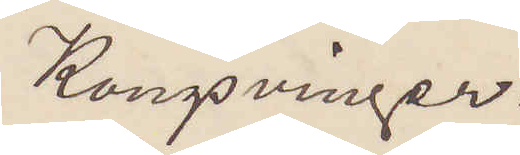Kongsvinger.
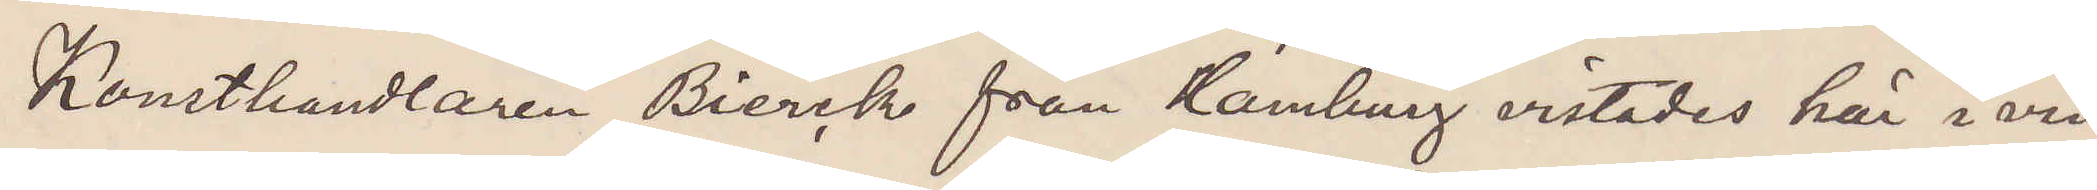Konsthandlaren Bierck från Hamburg vistades här i vin¬
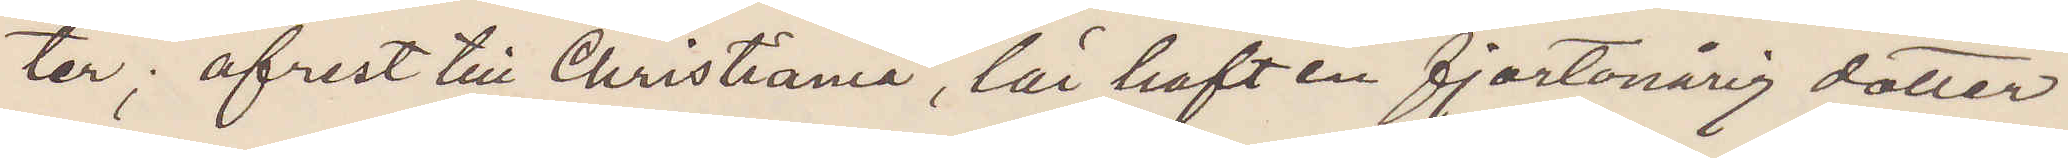ter; afrest till Christiania, lär haft en fjortonårig dotter.
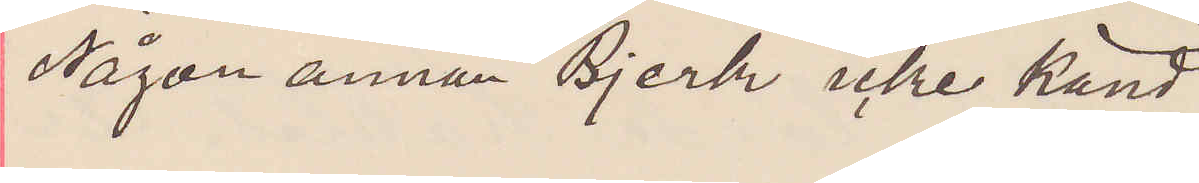Någon annan Bjerk icke känd.
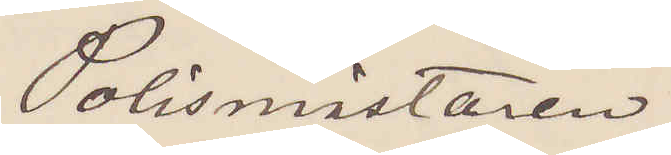Polismästaren.
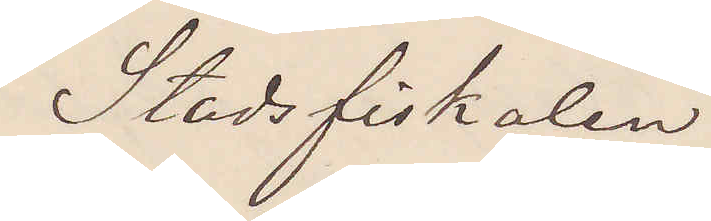Stadsfiskalen
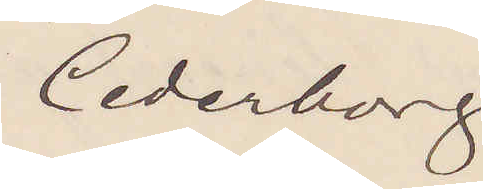Cederborg
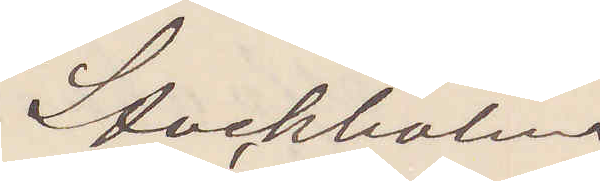Stockholm.
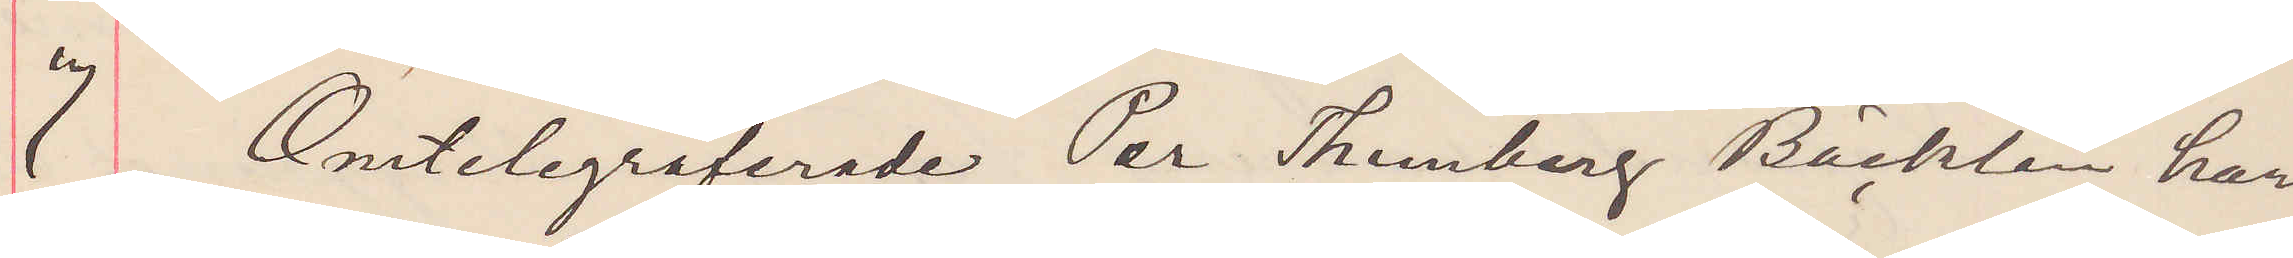7 Omtelegraferade Per Thunberg Bäcklin har
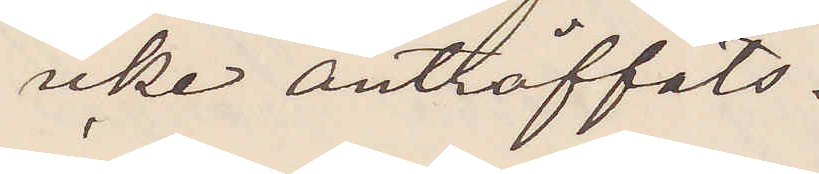icke anträffats.
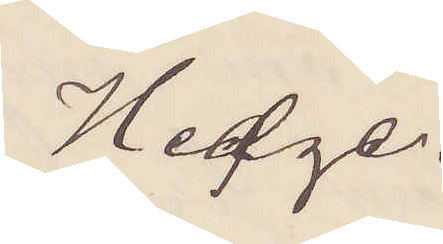Hedge.
